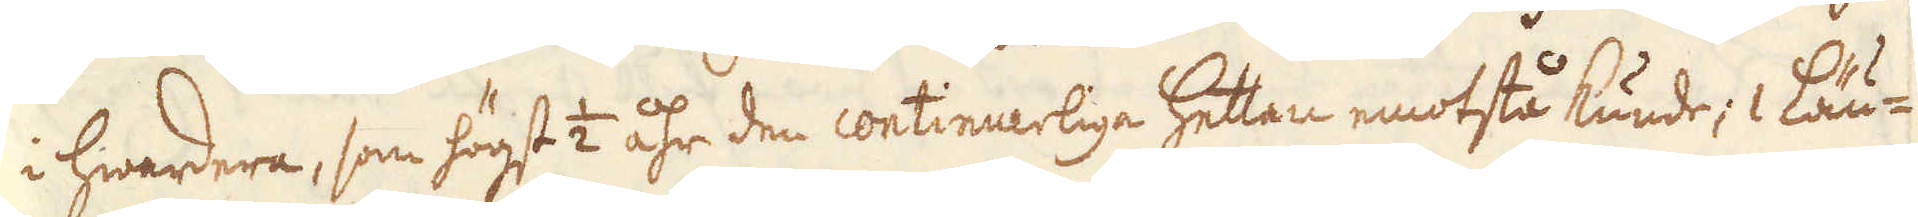i hwardera, som högst 1/2 åhr den continuerliga Hettan emotstå kunde; 1 Läu-
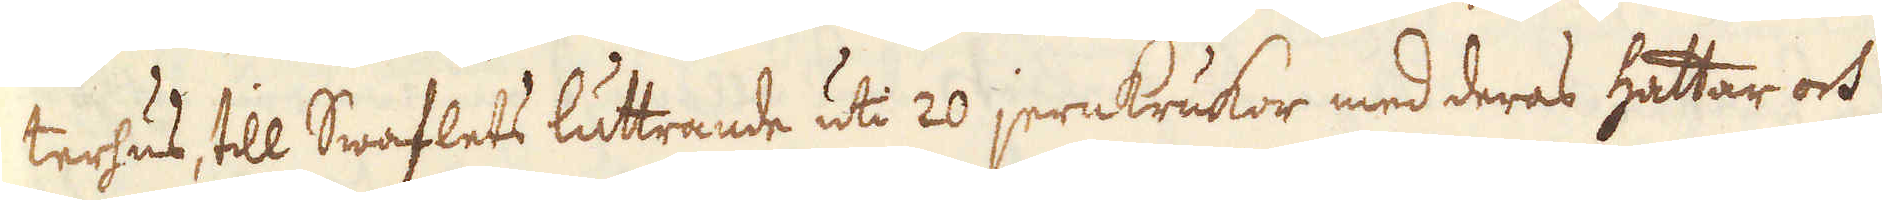terhus, till Swaflets luttrande uti 20 jernkrukor med deras hattar och
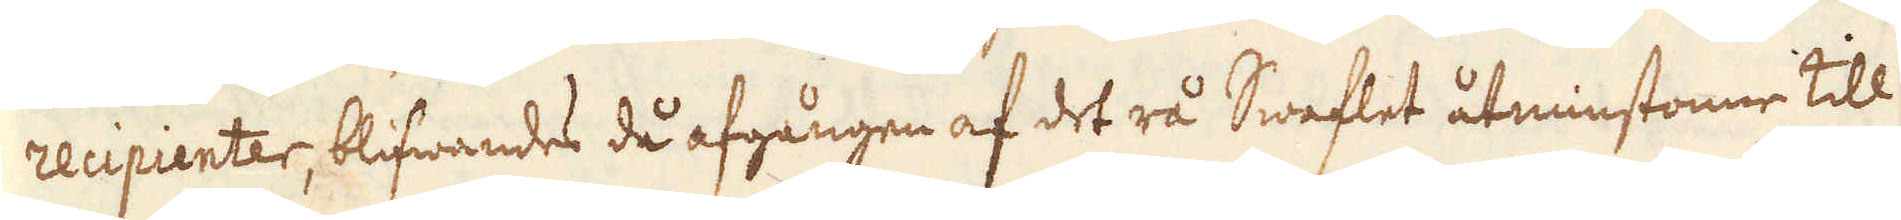recipienter, blifwandes då afgången af det rå Swaflet åtminstonne till
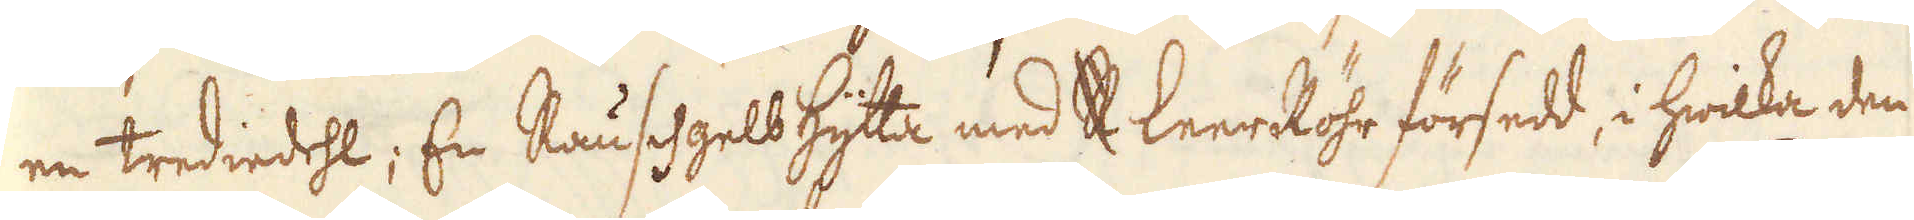en trediedehl;, En Rauschgelbhytta med R LeerRöhr försedd, i hwilka den
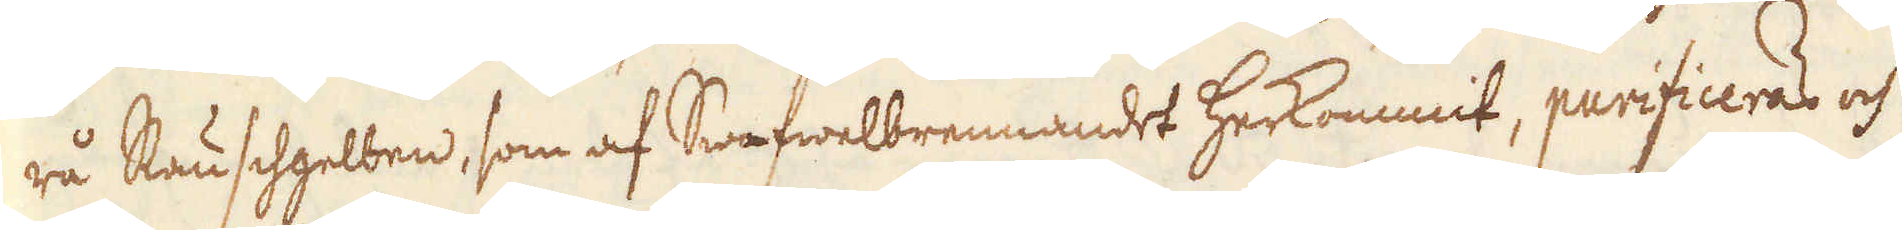rå Rauschgelben, som af Swafwelbrennandet herkommit, purificeras och
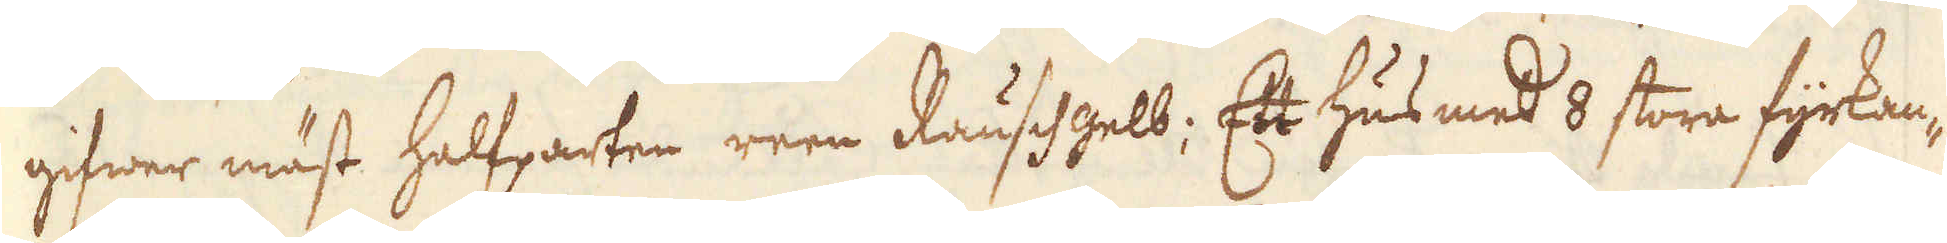gifwer mäst halfparten reen Rauschgelb; Ett hus med 8 stora fyrkan-
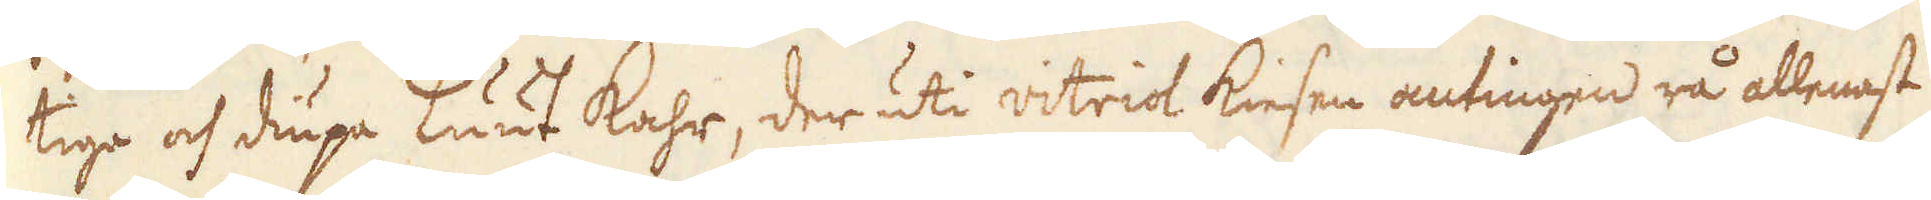tiga och diupa Luut kahr, der uti vitriol kiesen antingen rå allenast
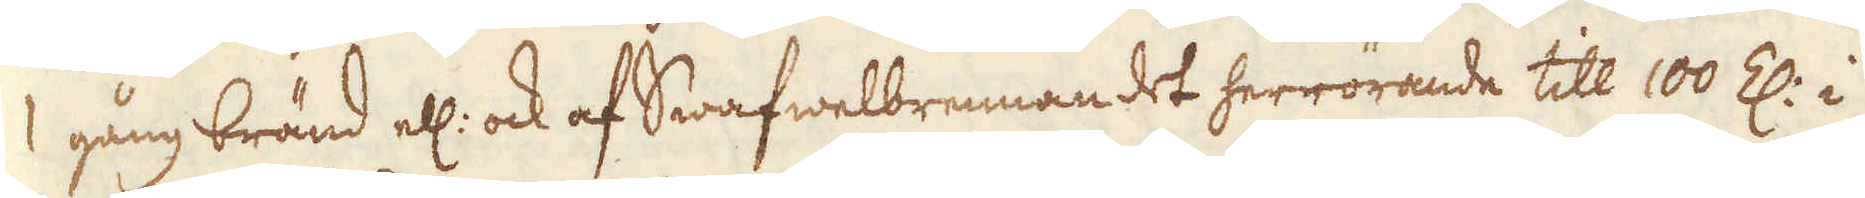1 gång bränd ell: ock af Swafwelbrennandet herrörande till 100 Z: i
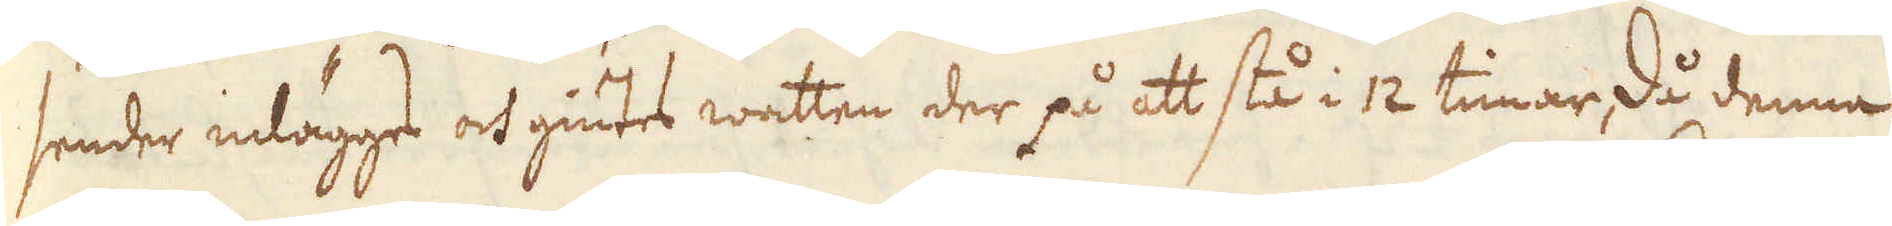sender inlägges och giutes watten der på att stå i 12 timar, då denna
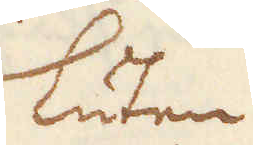Luten
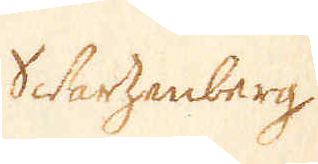Schwarzenberg
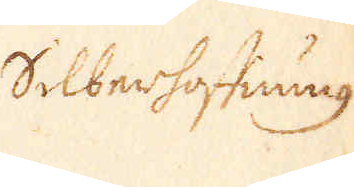Silberhoffing
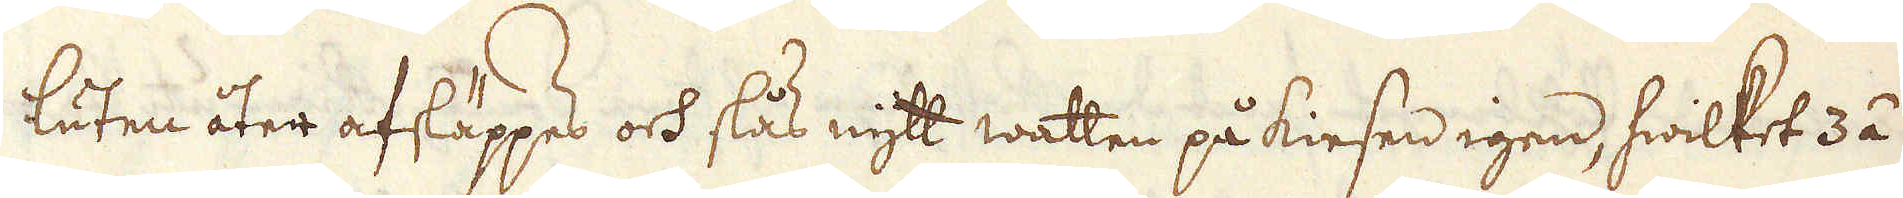luten åter afsläppes och slås nytt watten på kiesen igen, hwilket 3 á
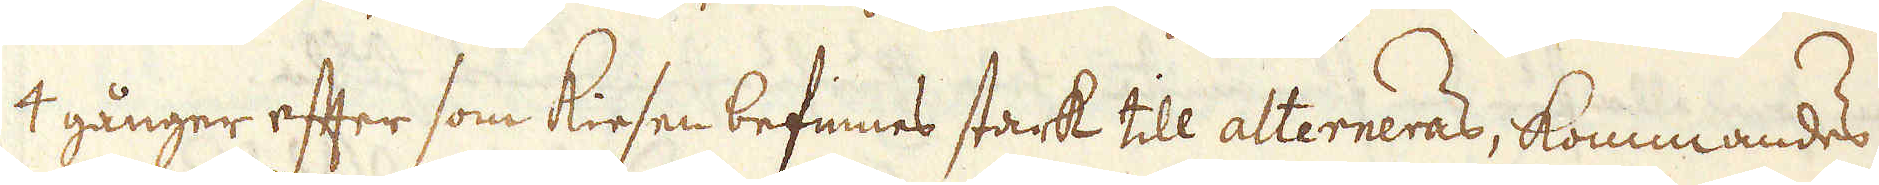4 gånger efter som kiesen befinnes stark till alterneras, kommandes
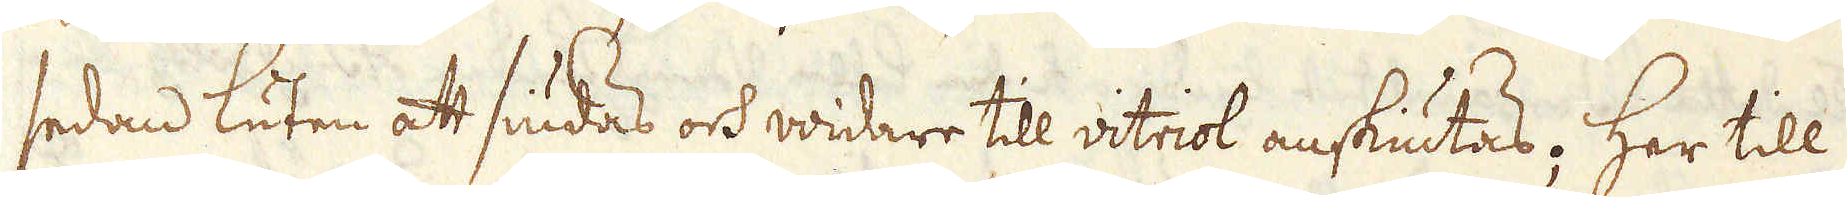sedan luten att siudas och widare till vitriol anskiutas. Her till
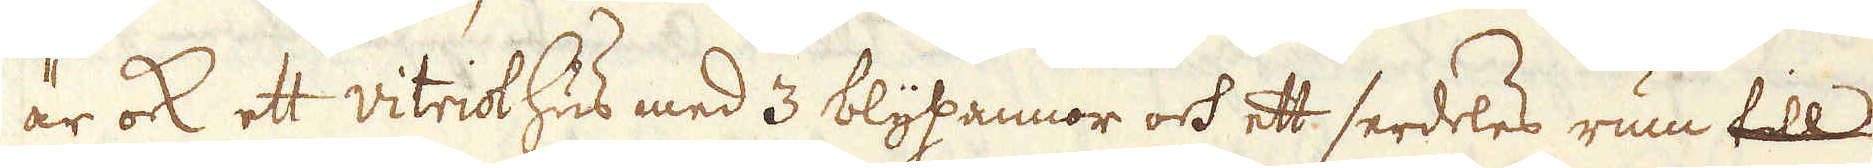är ock ett vitriolhus med 3 blypannor och ett serdeles rum till
